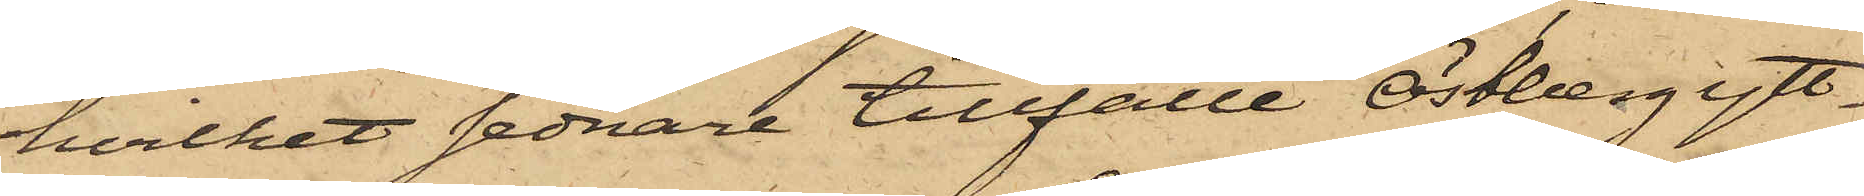hvilket sednare tillfälle Östberg ytt¬
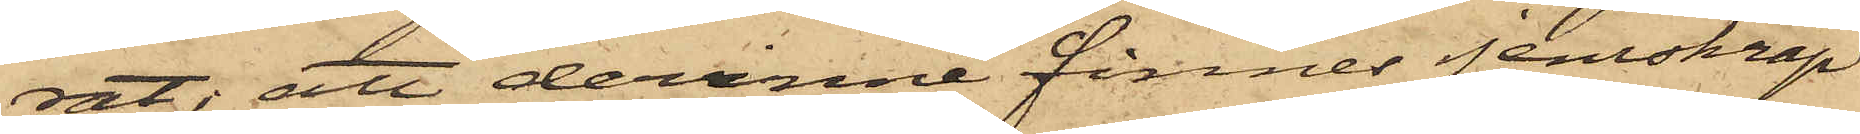rat; att derinne finnes jernskräp
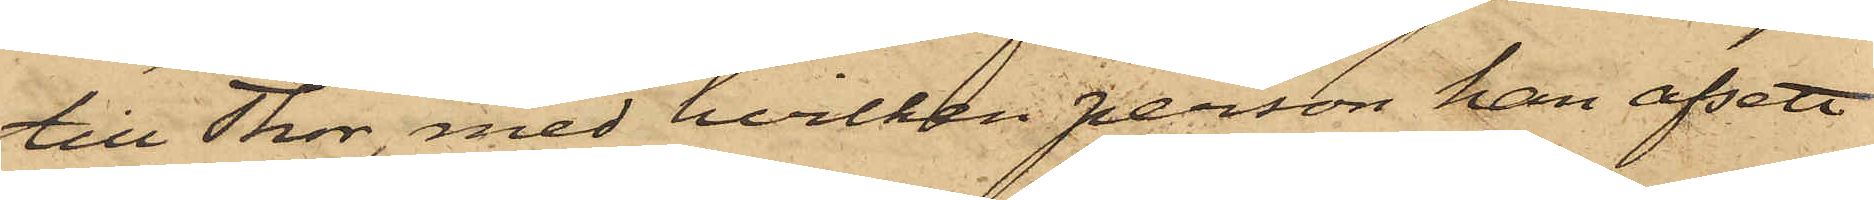till Thor, med hvilken person han afsett
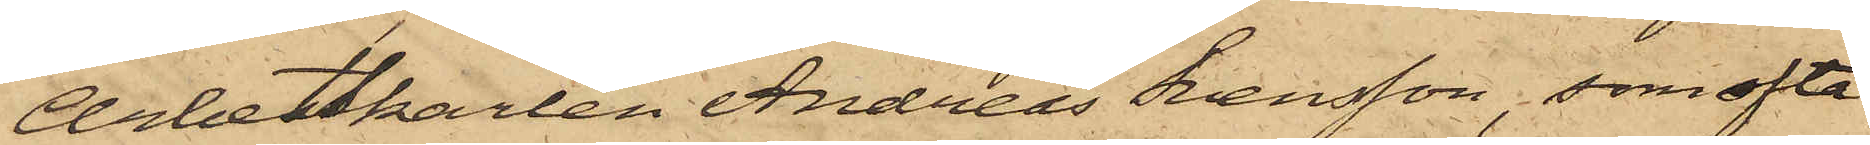Arbetskarlen Andreas Svensson, som ofta
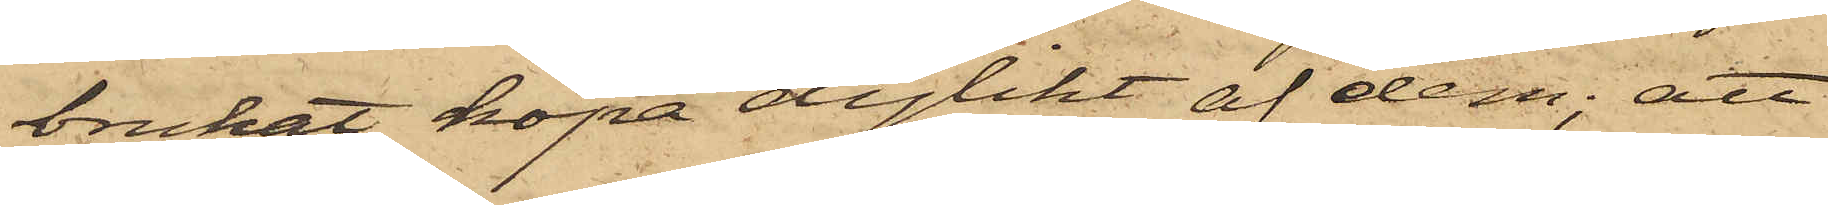brukat köpa dylikt af dem; att
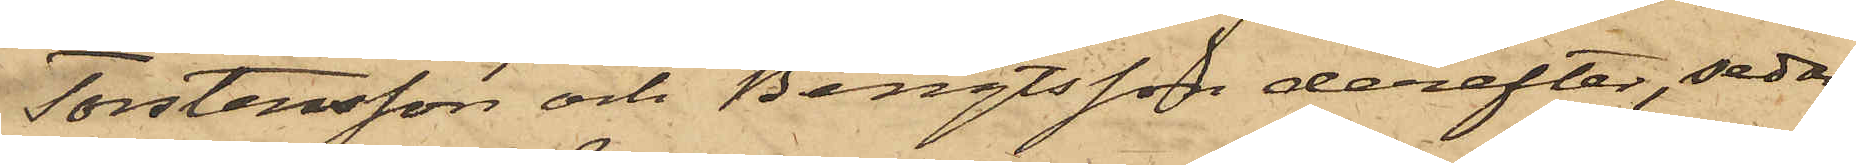Torstensson och Bengtsson derefter, sedan
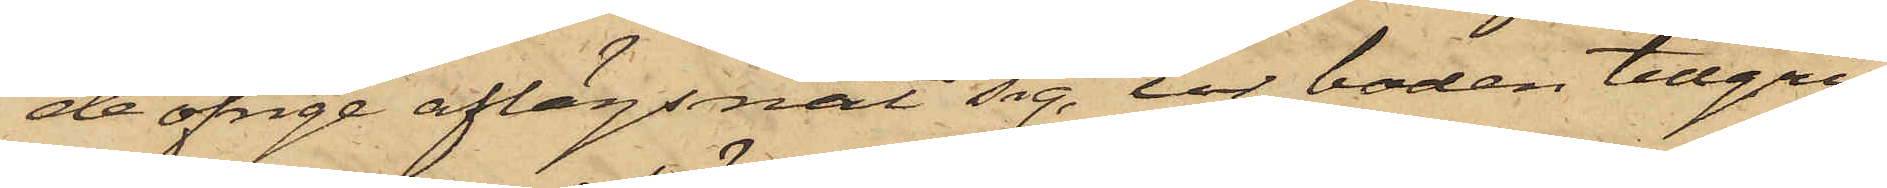de öfrige aflägsnat sig, ur boden tillgri¬
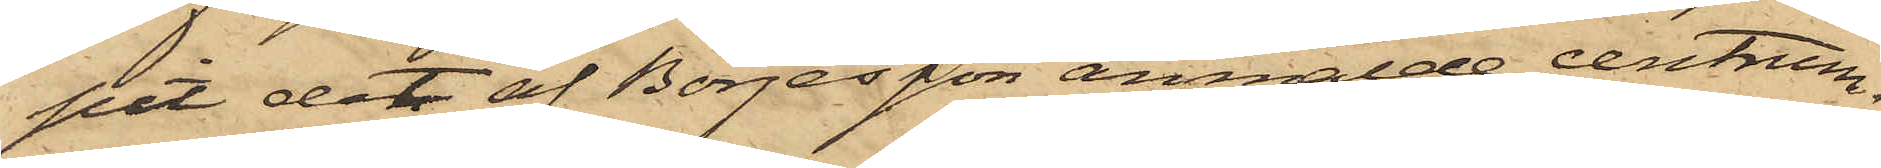pit det af Börjesson anmälde centrum¬
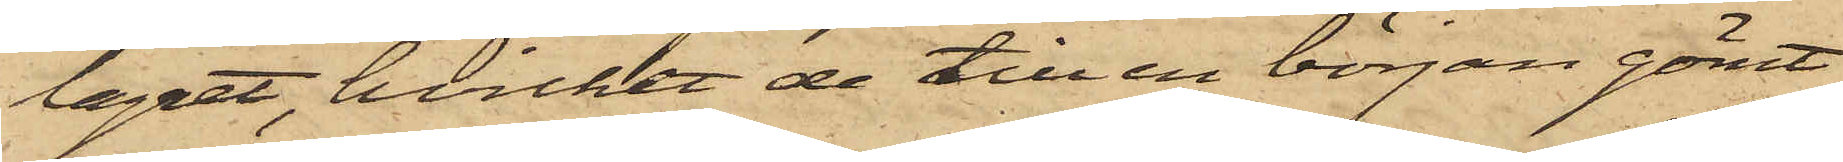lagret, hvilket de till en början gömt
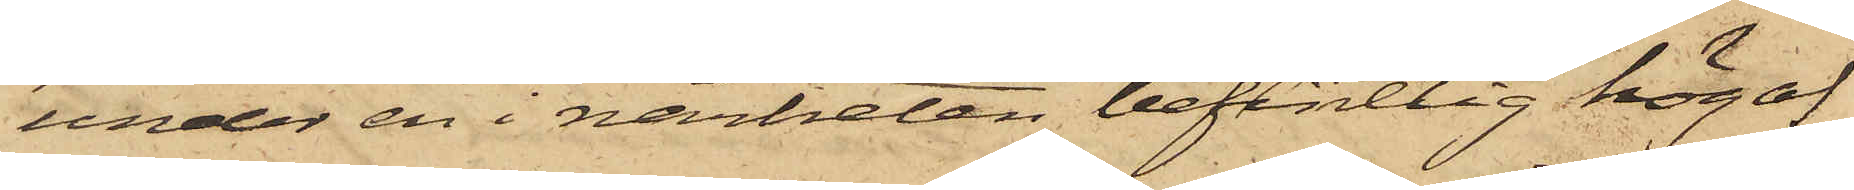under en i närheten befintlig hög af
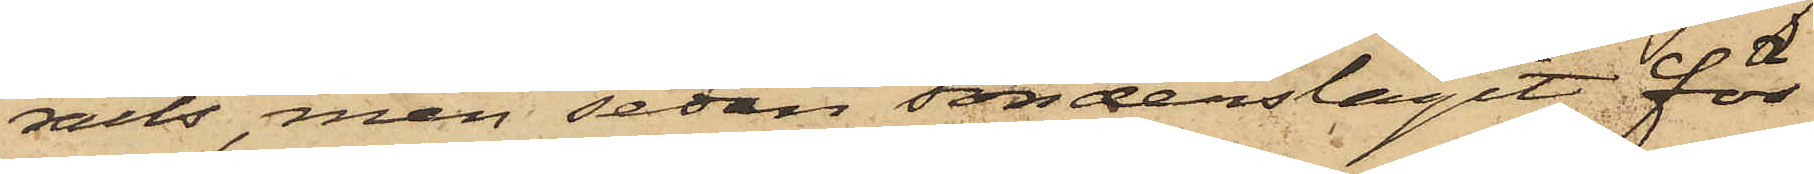rails, men sedan sönderslagit för
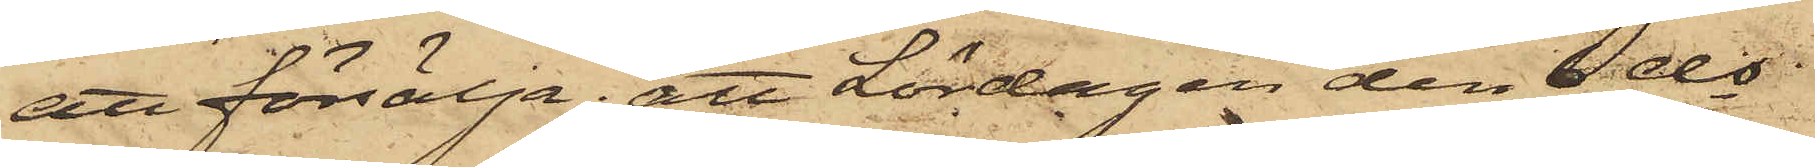att försälja; att Lördagen den 6 ds
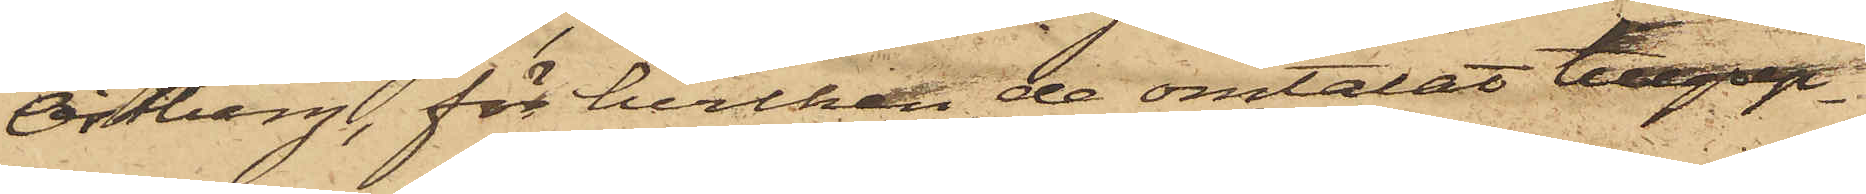Östberg, för hvilken de omtalat tillgrep¬
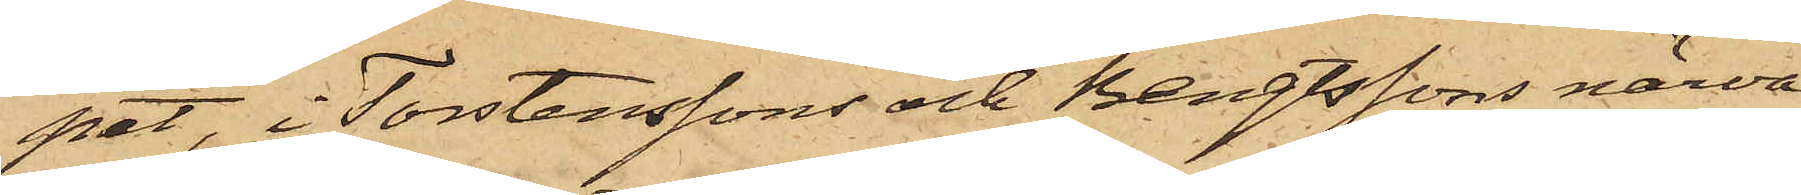pet, i Torstenssons och Bengtssons närva¬
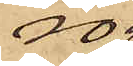ro
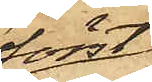först
